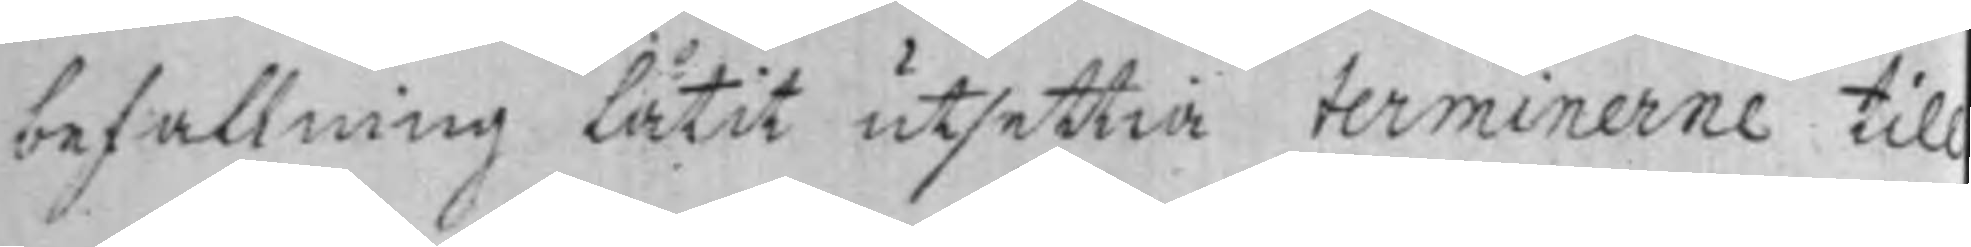befallning låtit utsettia terminerne till
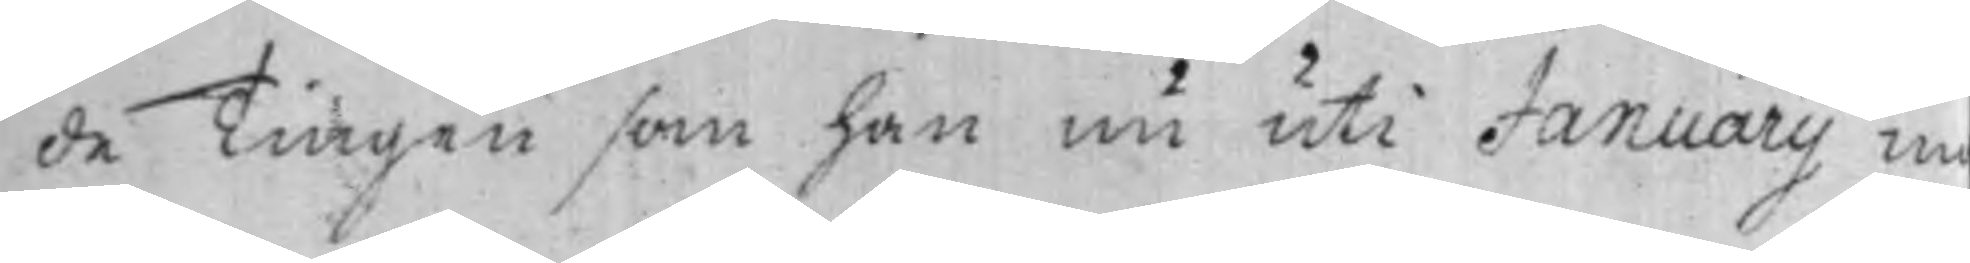de Tingen som han nu uti Januarij m¬
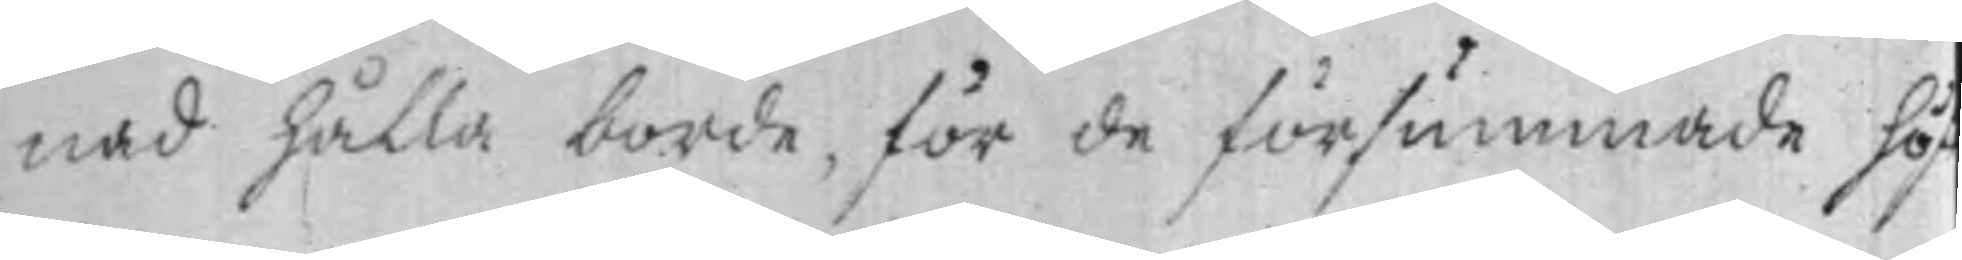nad hålla borde, för de försummade hös
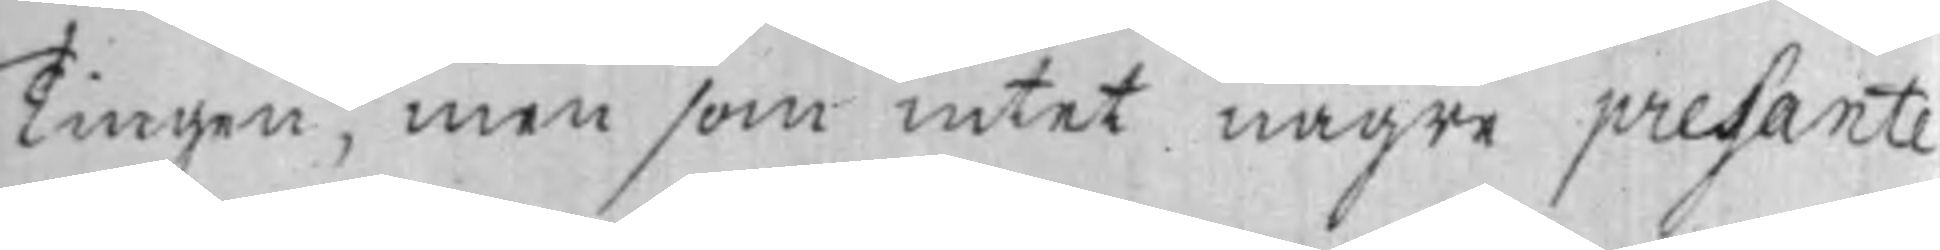Tingen, men som intet någre presaente
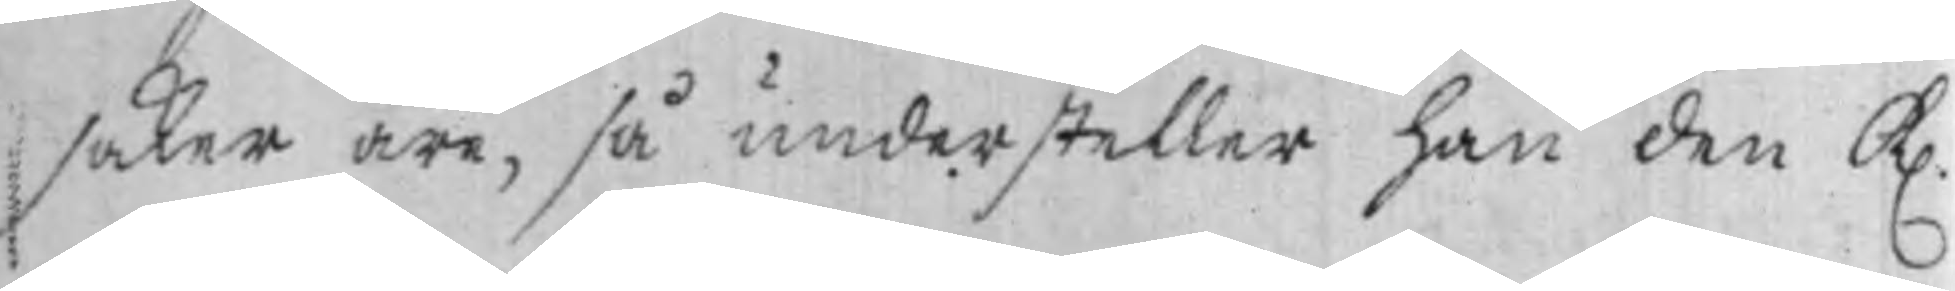saker äre, så understeller han den K.
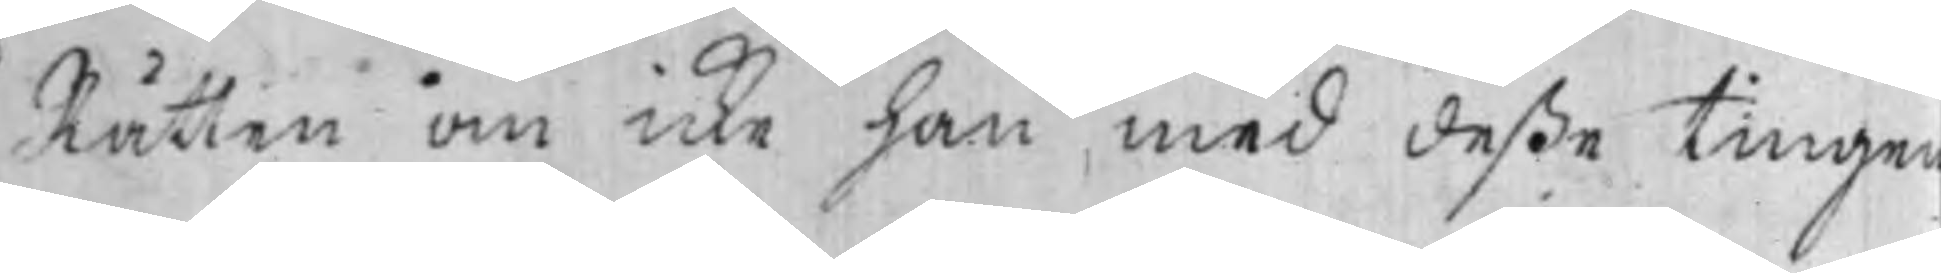Rätten om icke han med deße tingen
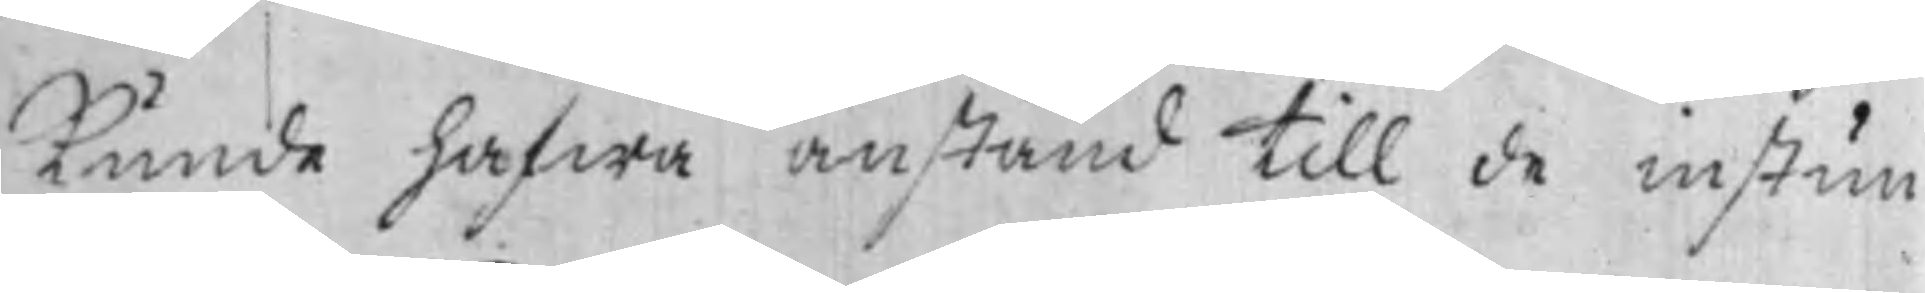kunde hafwa anstånd till de instun¬
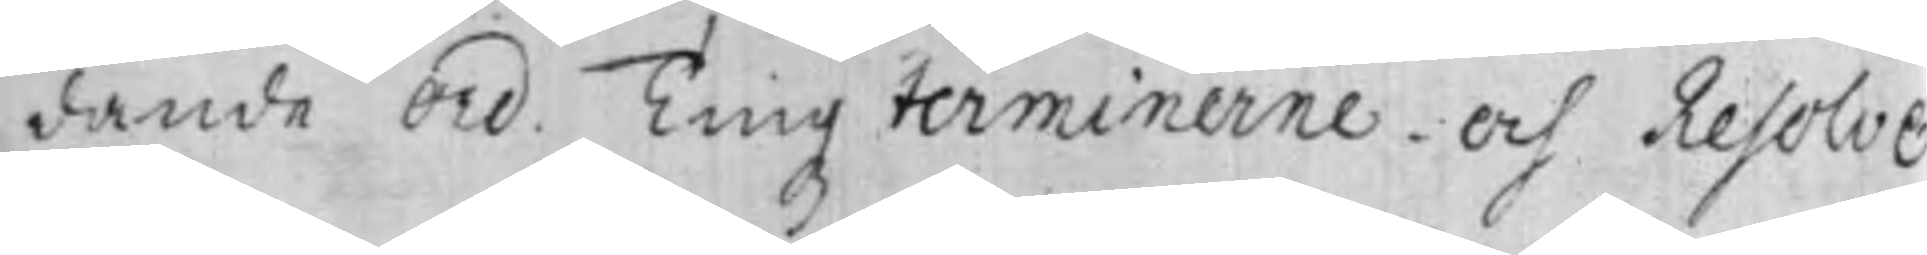dande Ord. Tingz terminerne. Och Resolve¬
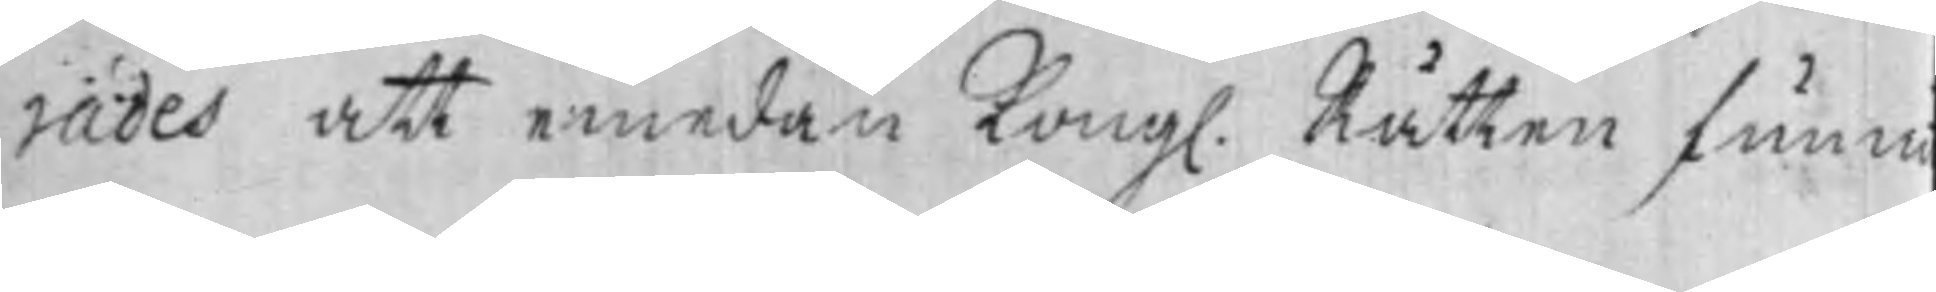rades att emedan Kong. Rätten funni
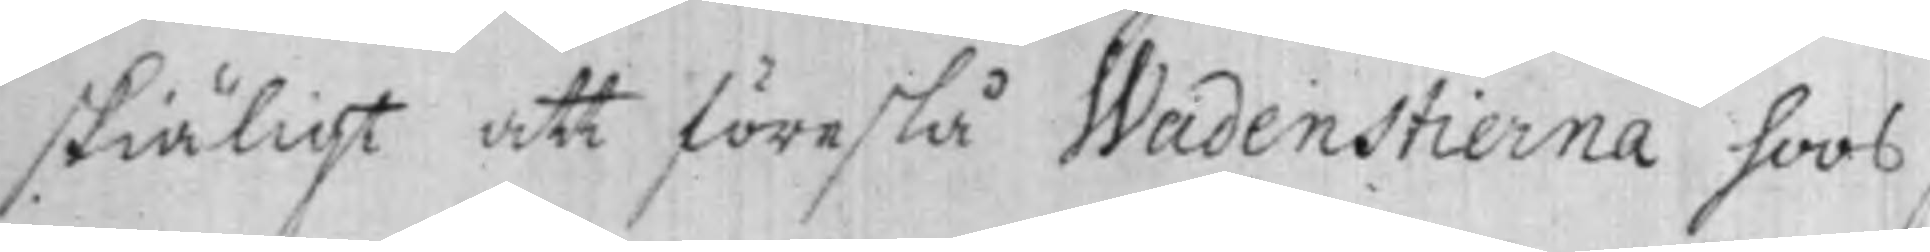skiäligt att föreslå Wadenstierna hoos
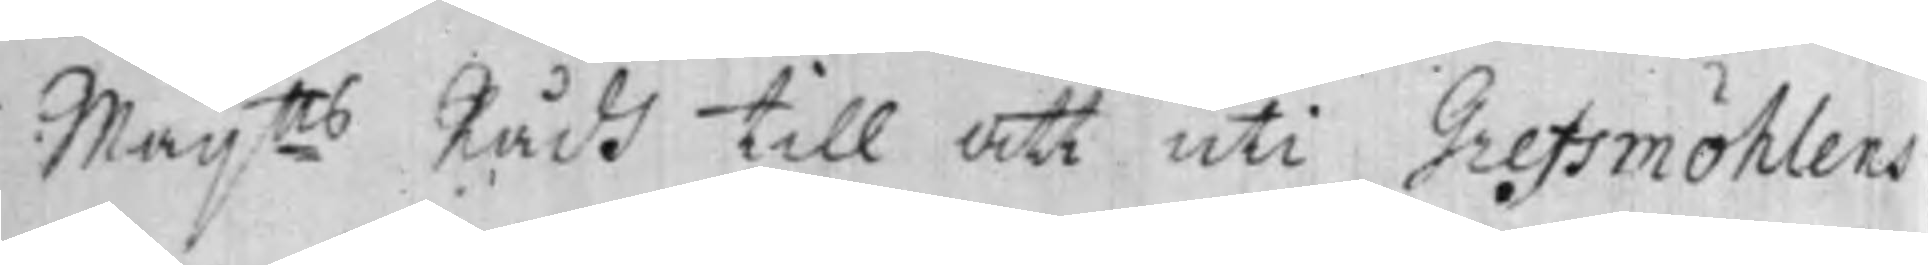Maij:tts Rådh till att uti Grefsmöhlens
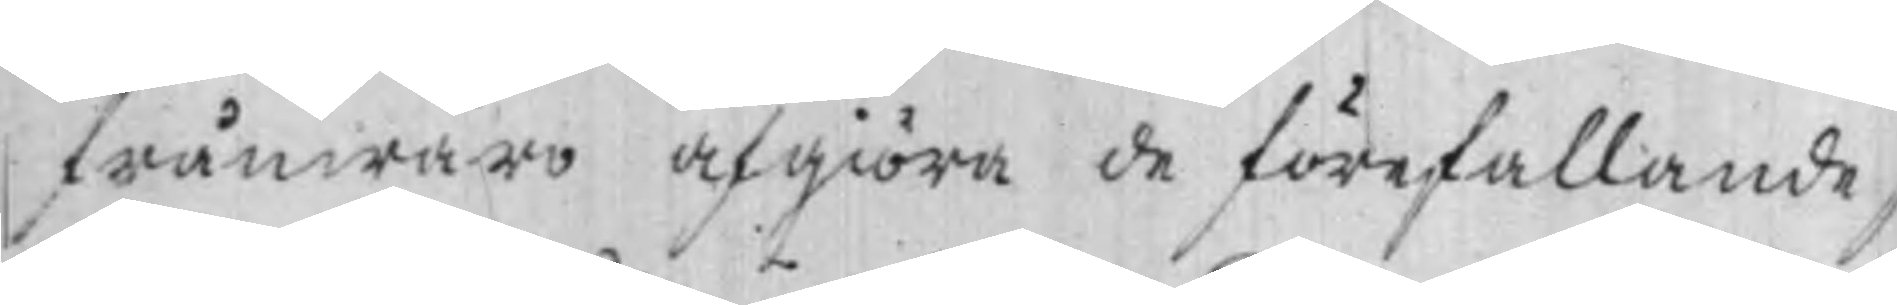frånwaro afgiöra de förefallande s¬
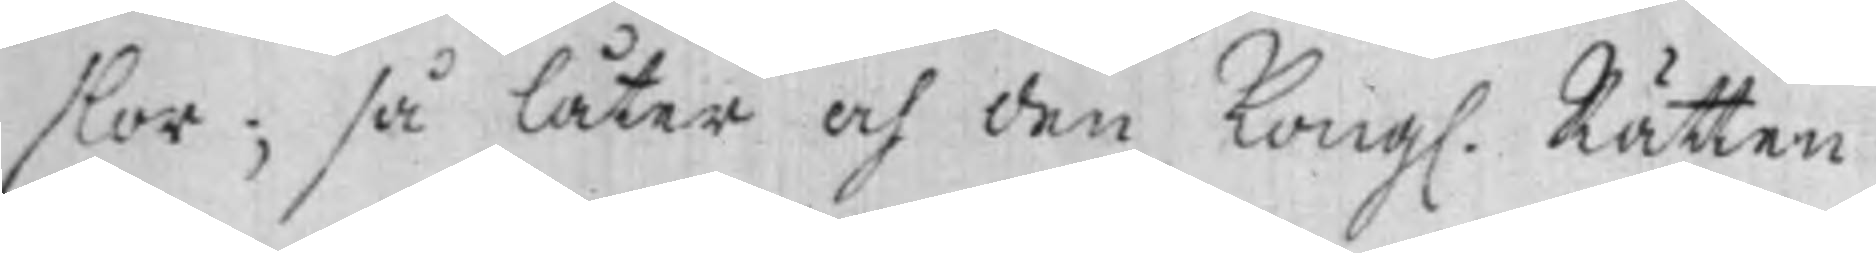slor; så låter och den Kong. Rätten
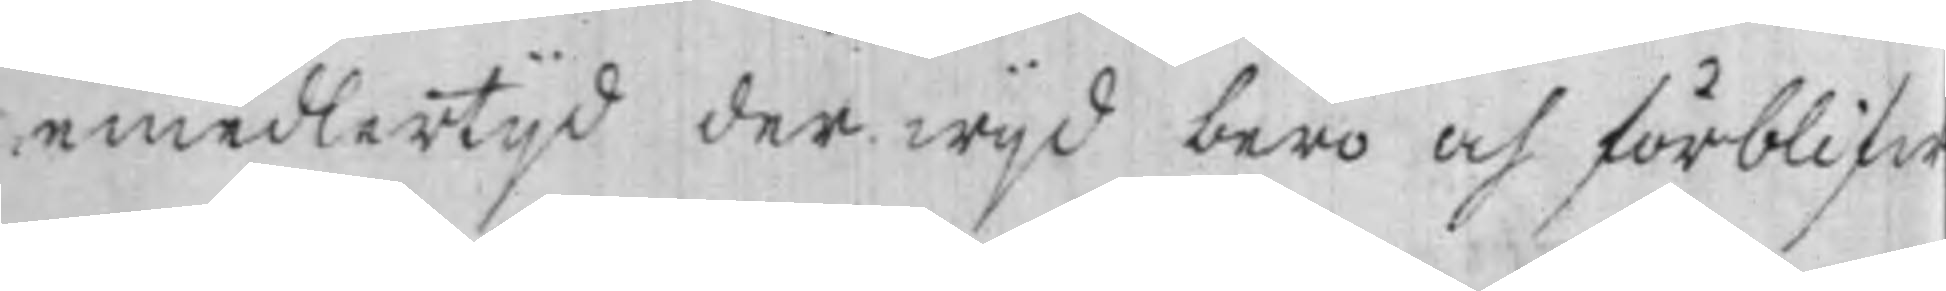emedlertijd der wijd bero och förblifw
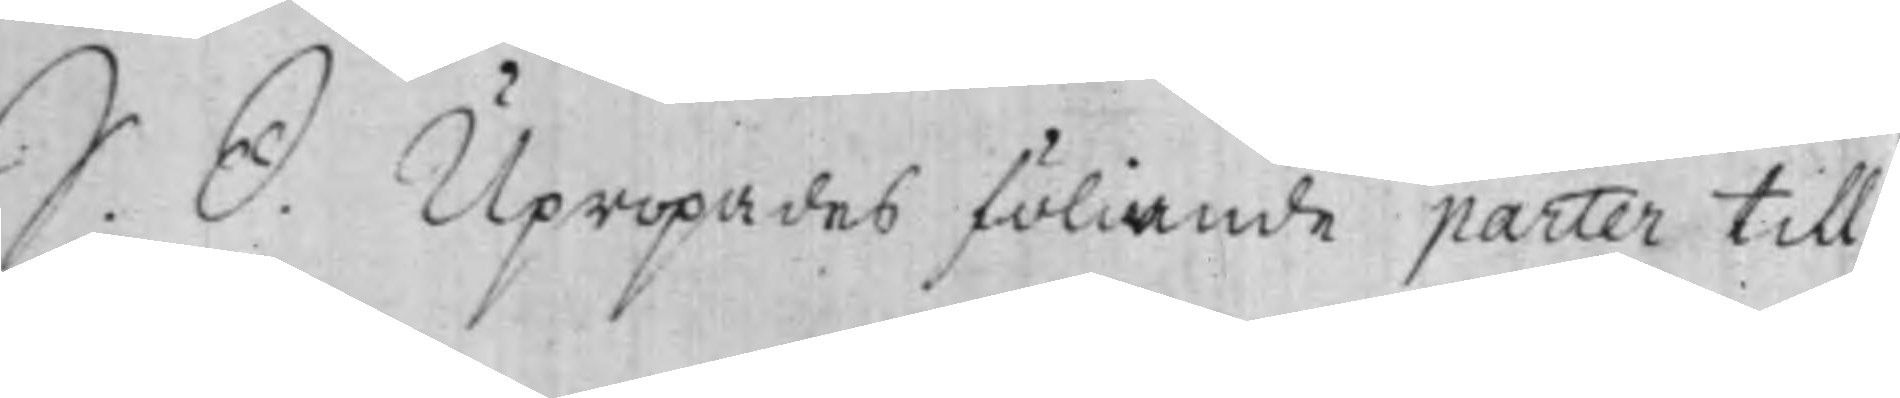S. D. Upropades föliande parter till
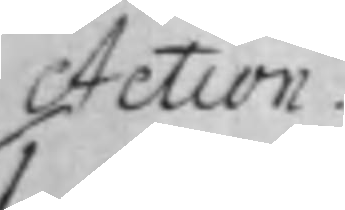Action.
